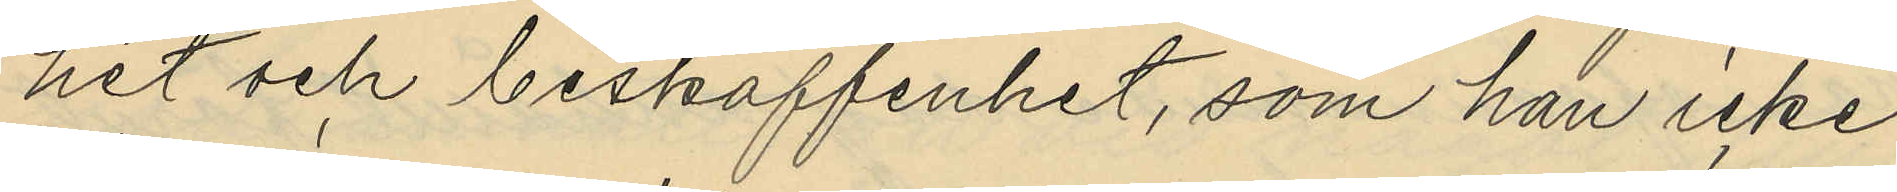het och beskaffenhet, som han icke
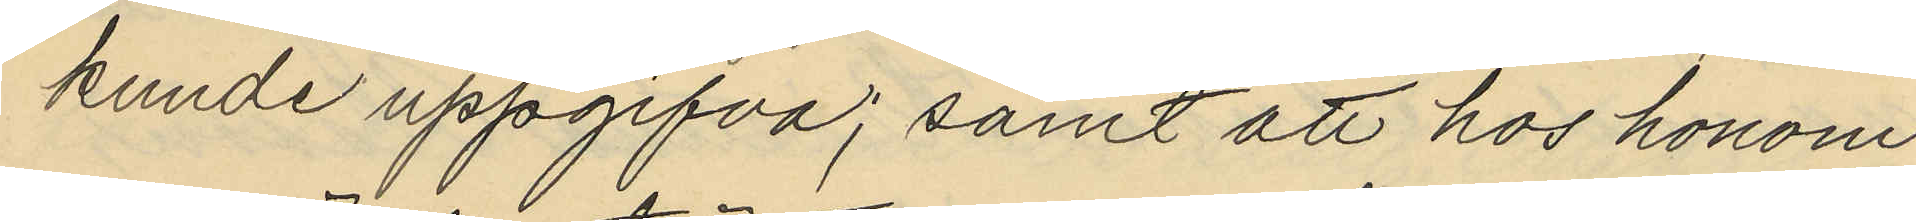kunde uppgifva; samt att hos honom
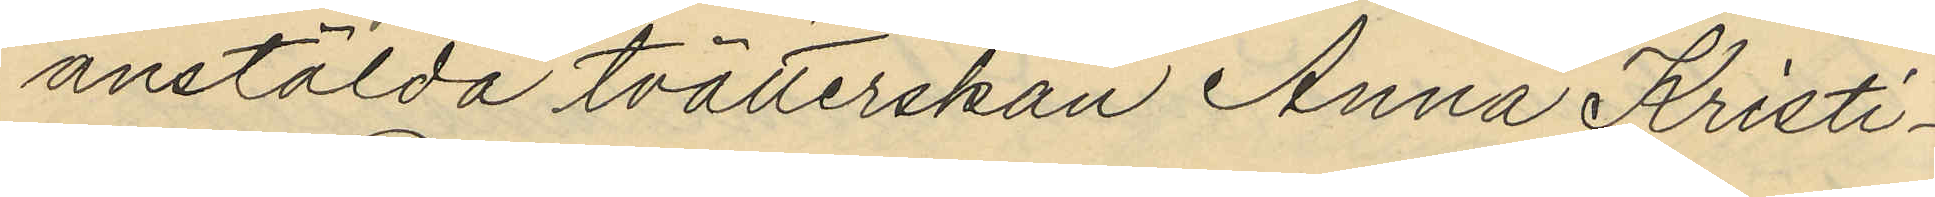anstälda tvätterskan Anna Kristi¬
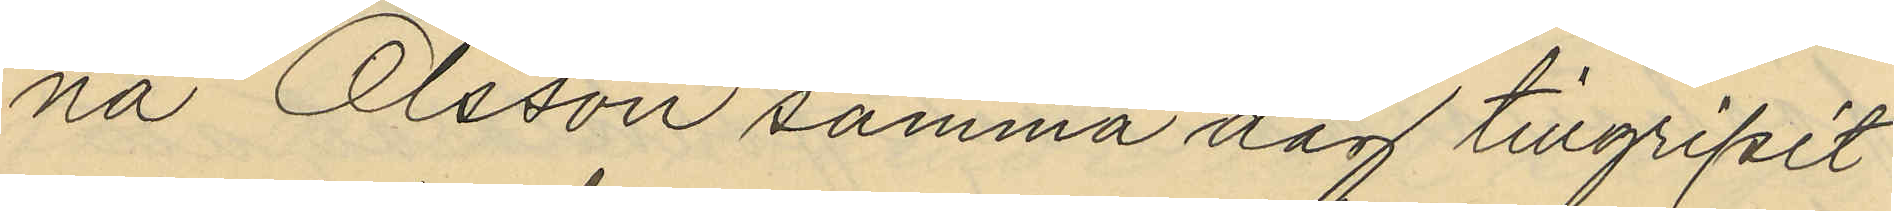na Olsson samma dag tillgripit
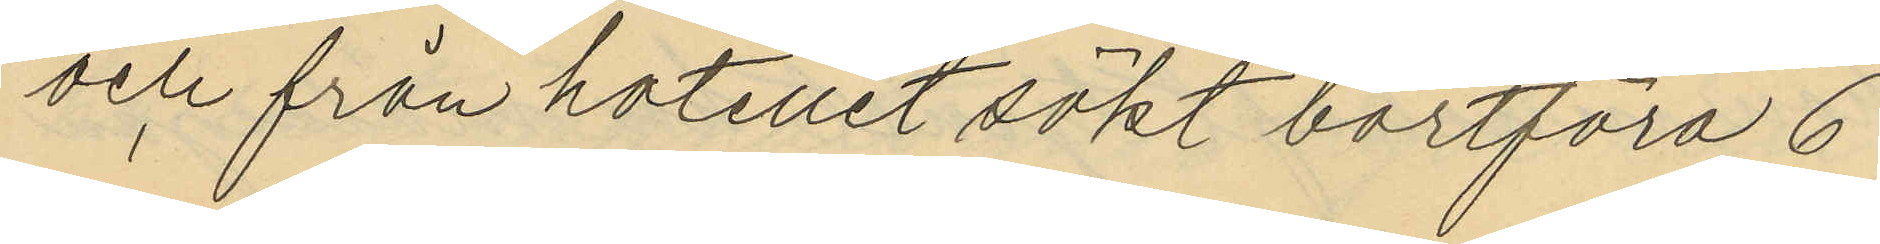och från hotellet sökt bortföra 6
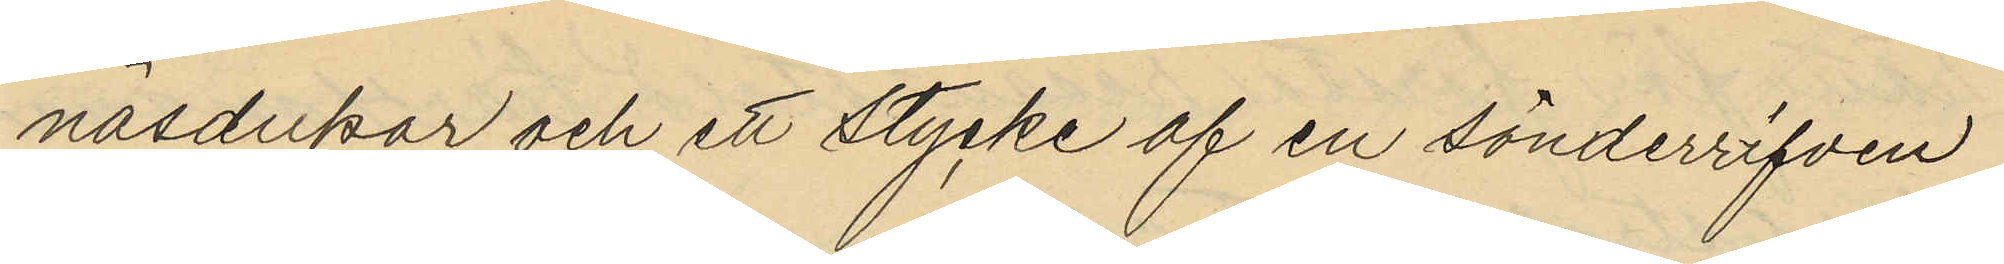näsdukar och ett stycke af en sönderrifven
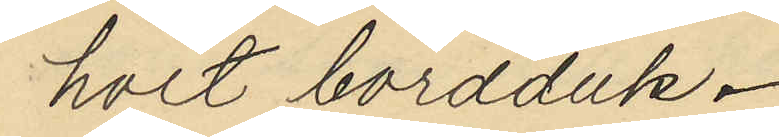hvit bordduk.
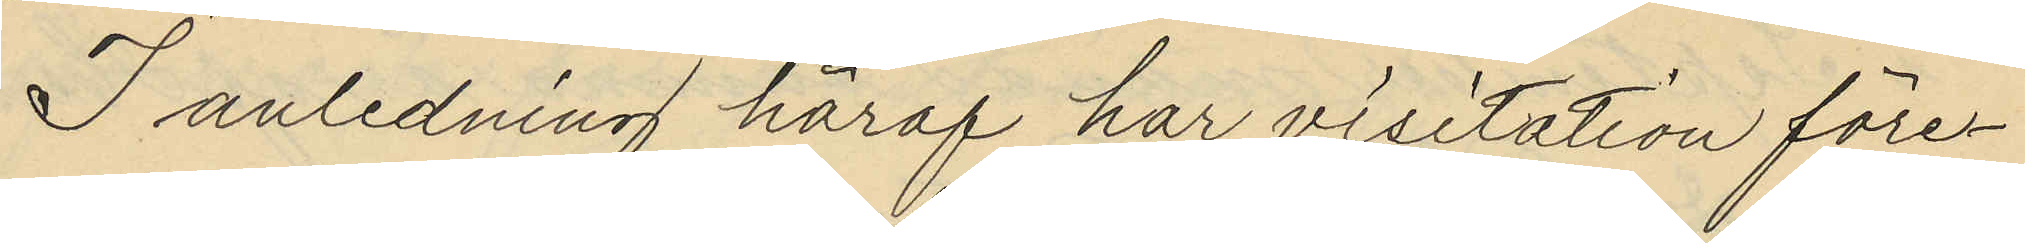I anledning häraf har visitation före¬
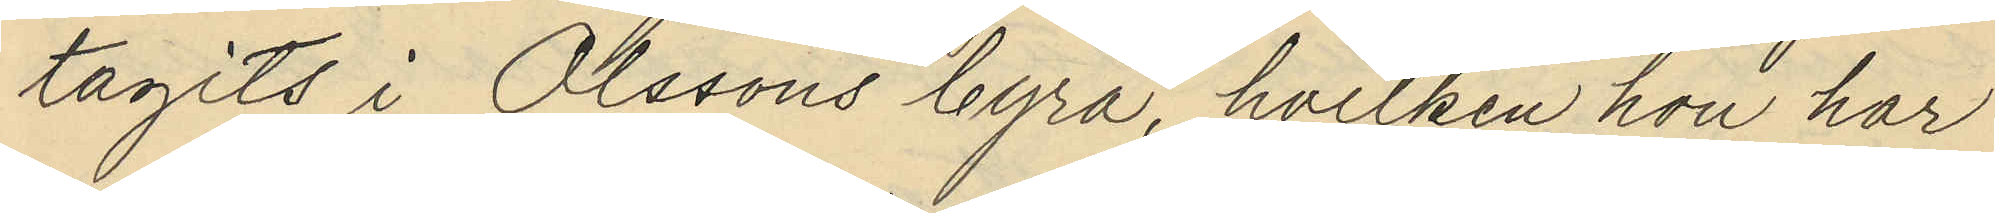tagits i Olssons byrå, hvilken hon har
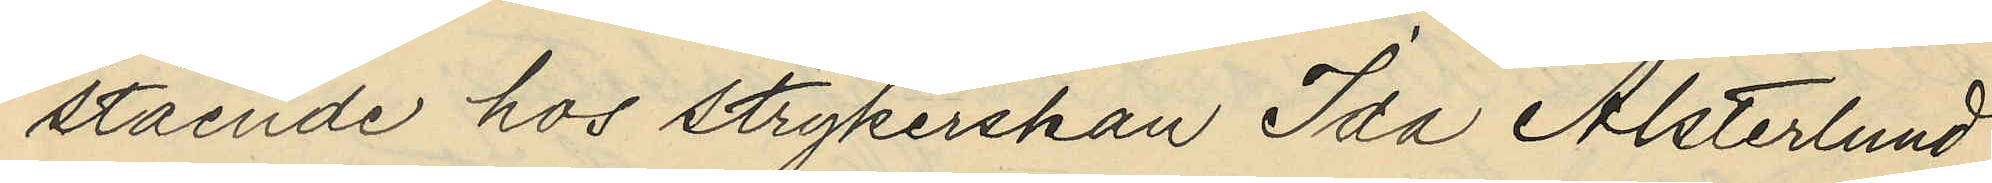stående hos strykerskan Ida Alsterlund
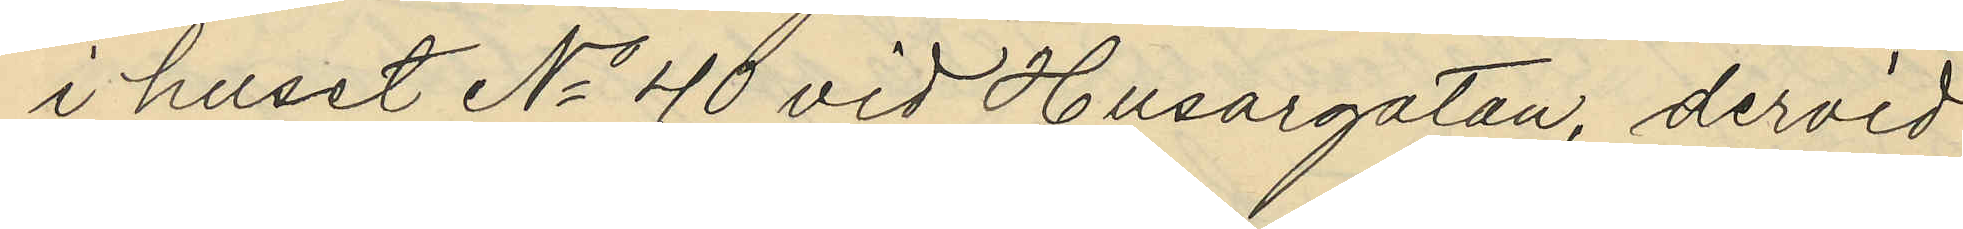i huset No 40 vid Husargatan, dervid
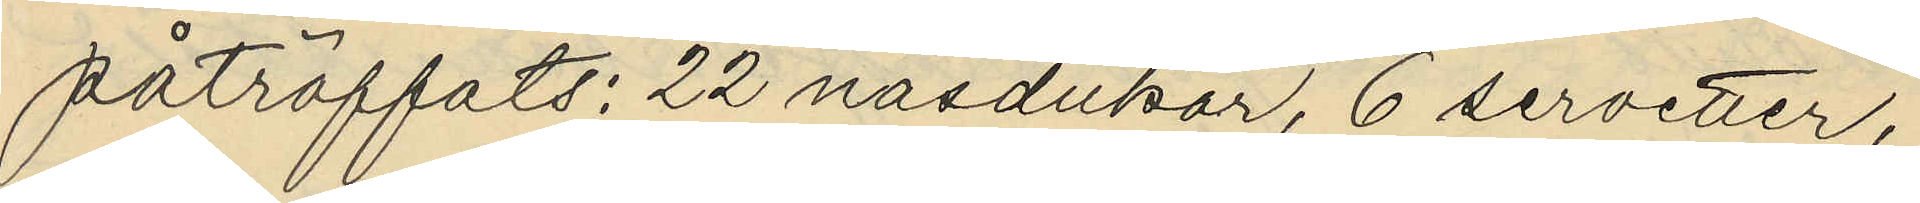påträffats: 22 näsdukar, 6 servetter,
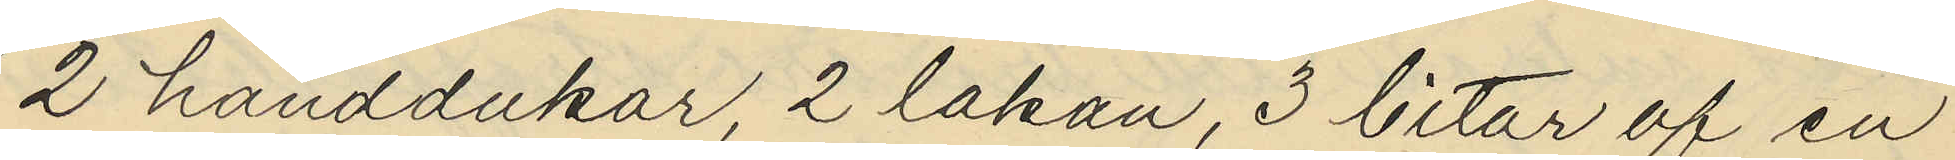2 handdukar, 2 lakan, 3 bitar af en
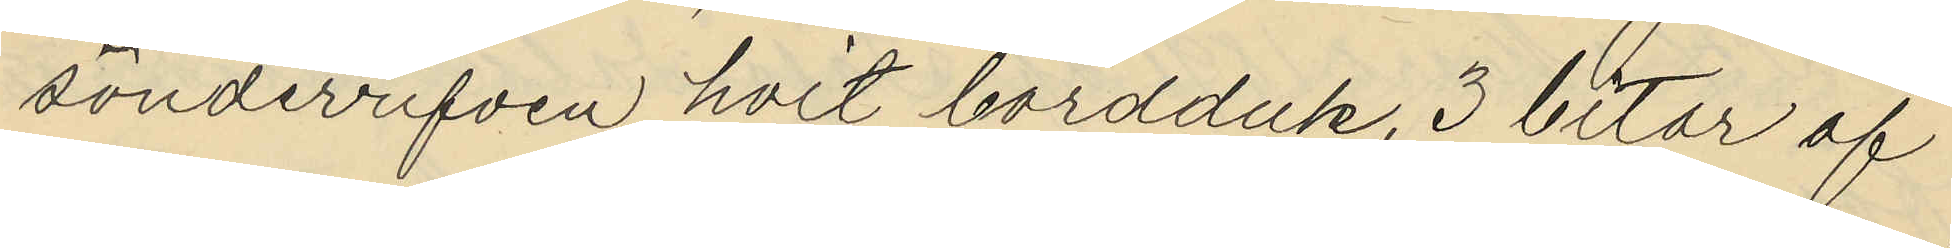sönderrifven hvit bordduk, 3 bitar af
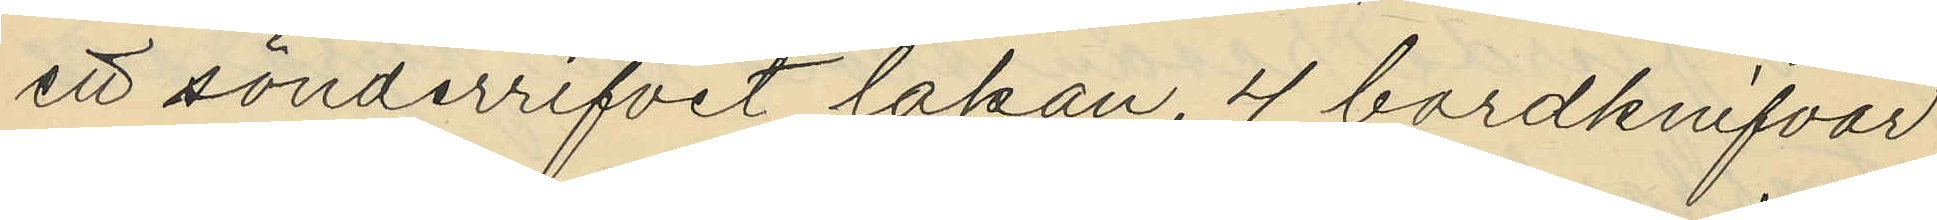ett sönderrifvit lakan, 4 bordknifvar
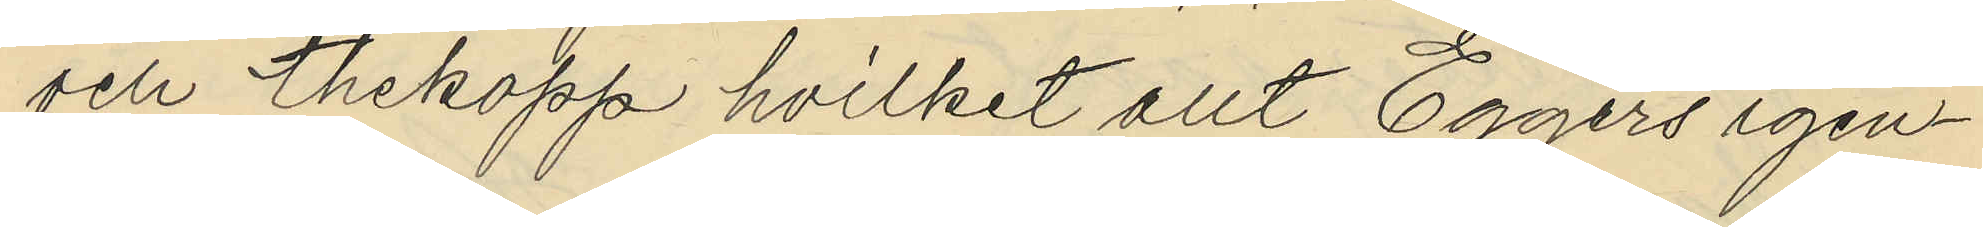och thekopp hvilket allt Eggers igen¬
